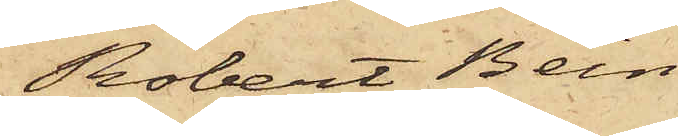Robert Bein
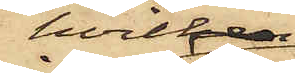hvilken
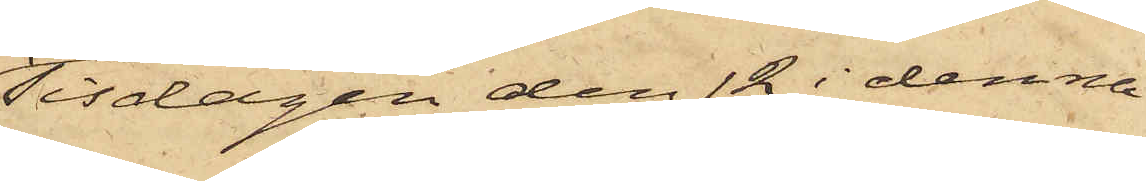Tisdagen den 12 i denna
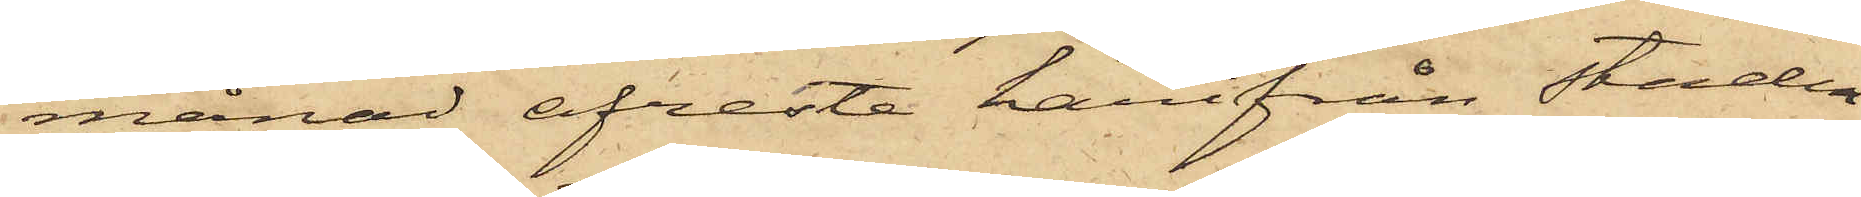månad afreste härifrån staden
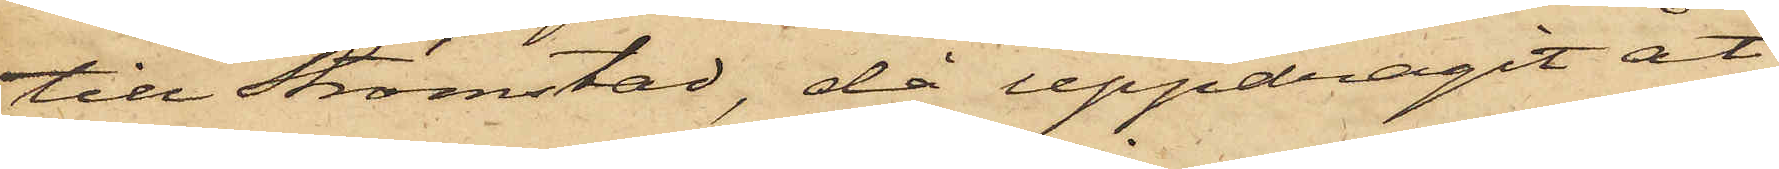till Strömstad, då uppdragit åt
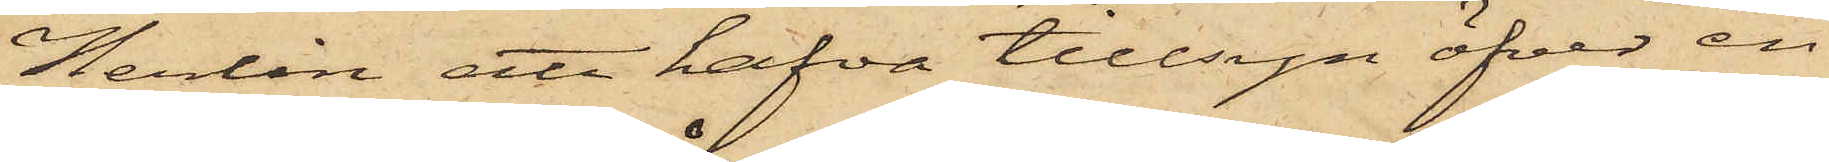Herlin att hafva tillsyn öfver en
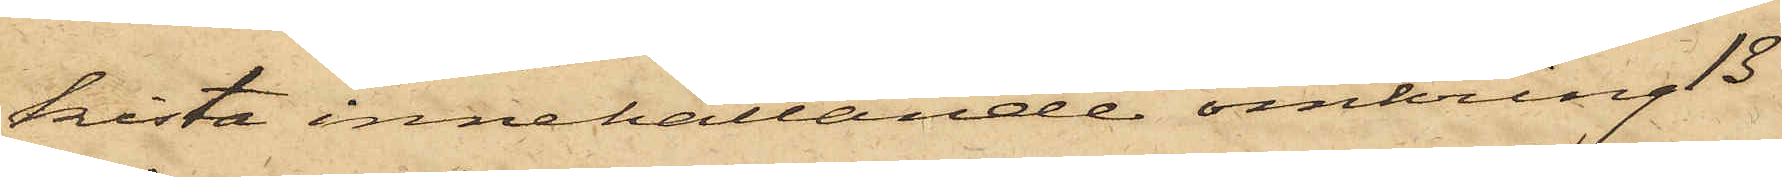kista innehållande omkring 13
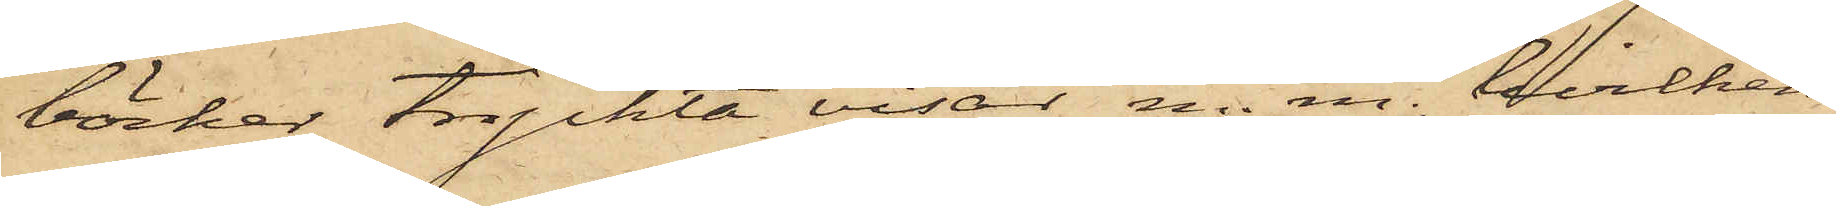böcker tryckta visor m. m., hvilken
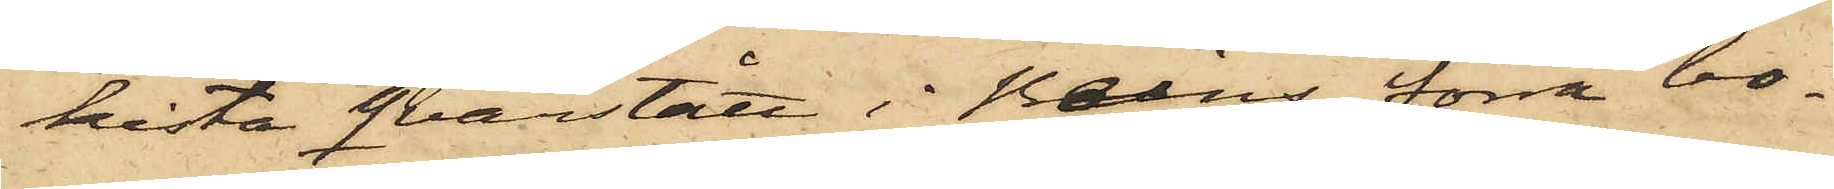kista qvarstått i Beins förra bo¬
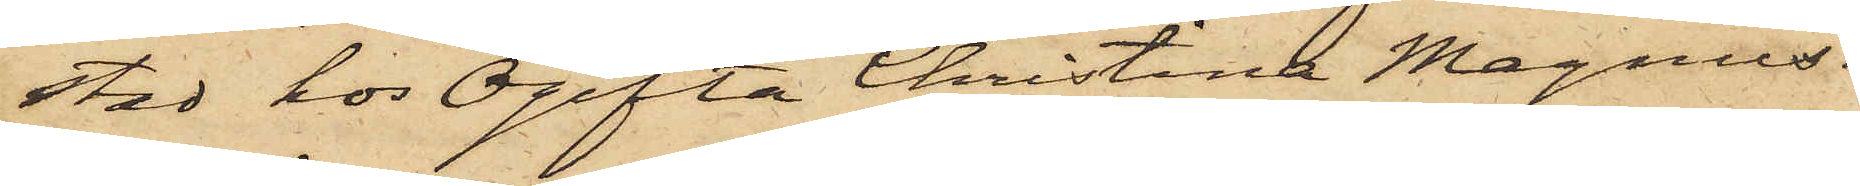stad hos Ogifta Christina Magnus¬
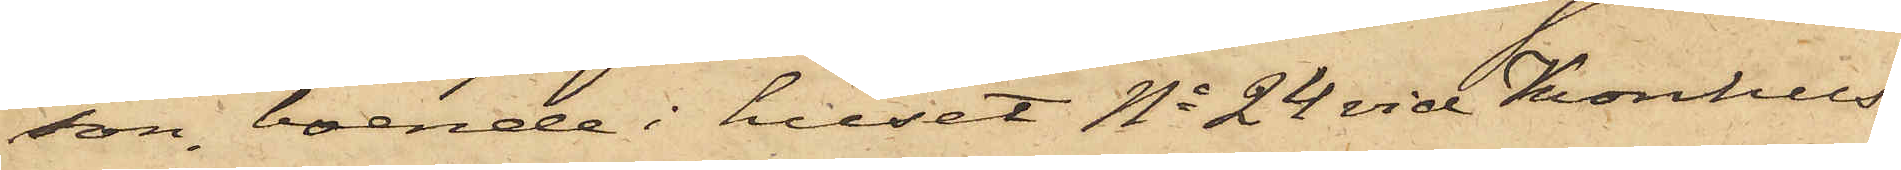son, boende i huset No 24 vid Kronhus¬
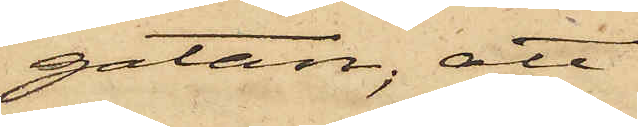gatan; att
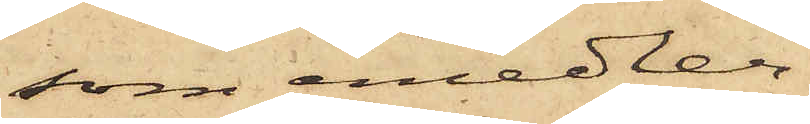som emedler¬
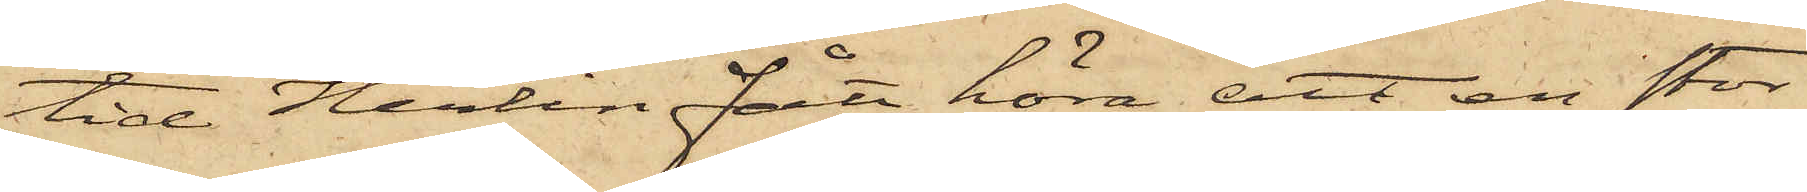tid Herlin fått höra att en stor
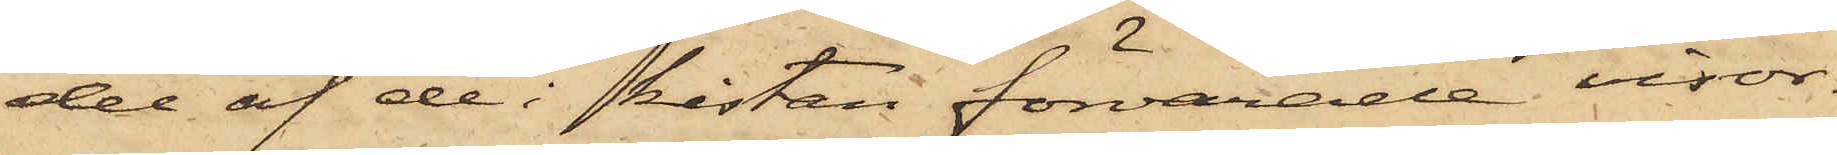del af de i kistan förvarade visor¬
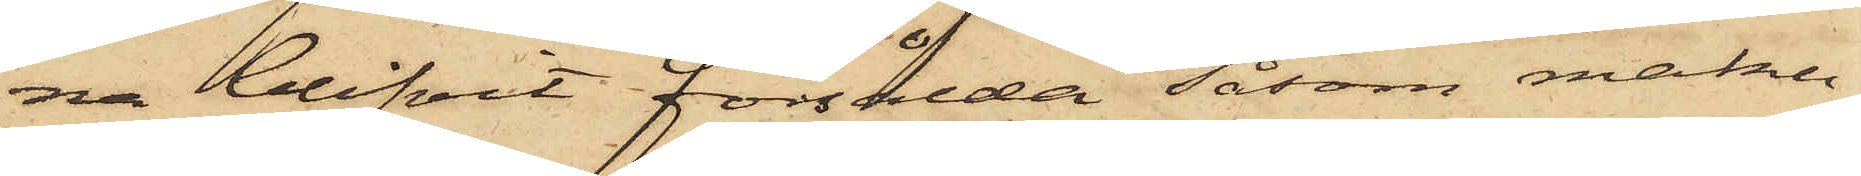na blifvit försålda såsom maku¬
